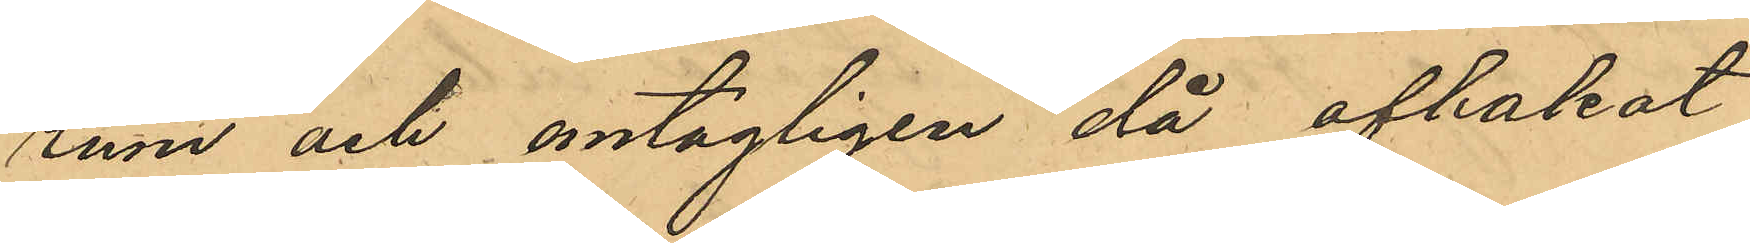rum och antagligen då afhakat
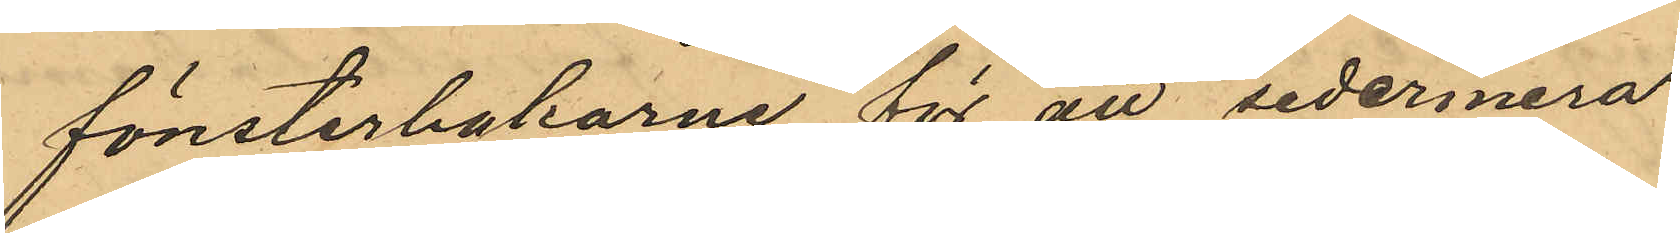fönsterhakarne för att sedermera
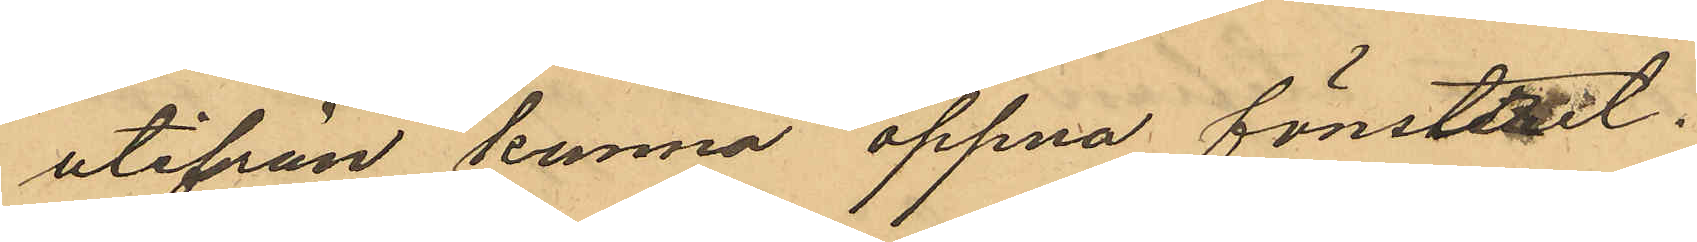utifrån kunna öppna fönsteret.
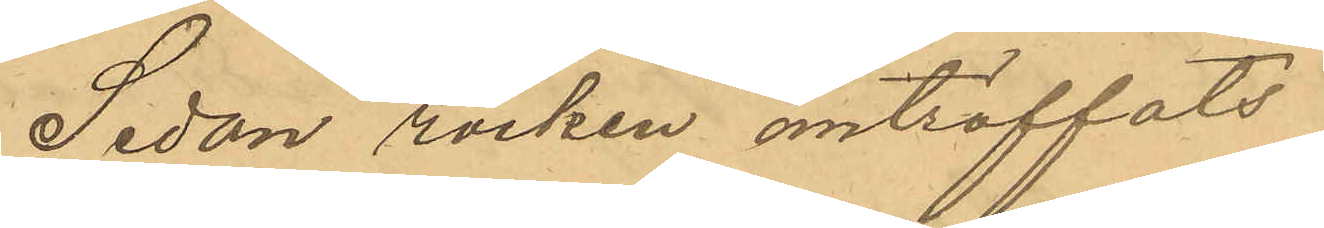Sedan rocken anträffats
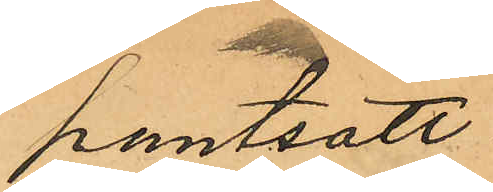pantsatt
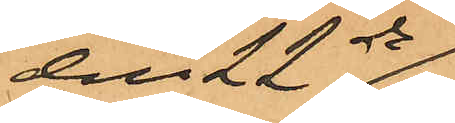den 22ds
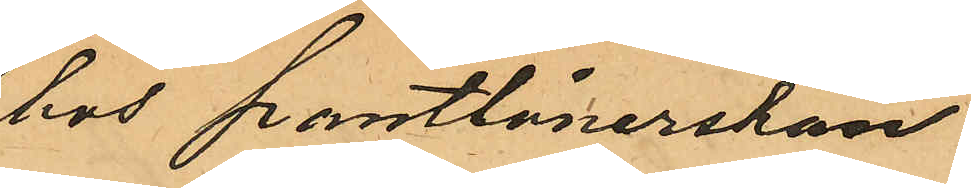hos pantlånerskan
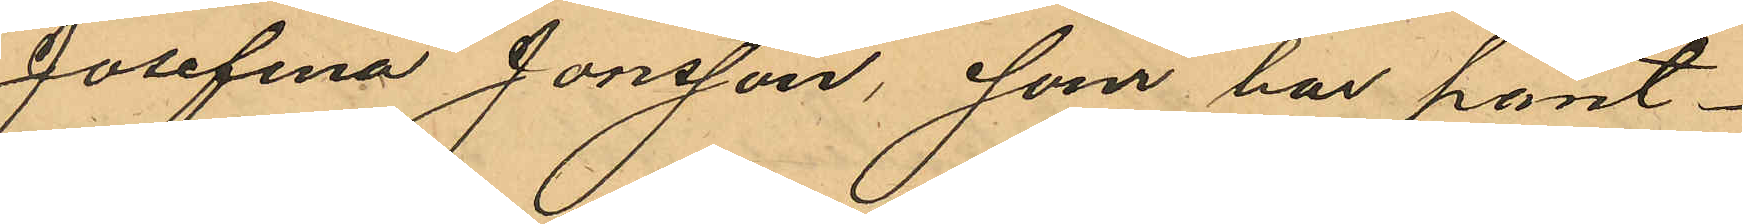Josefina Jonsson, som har pant¬
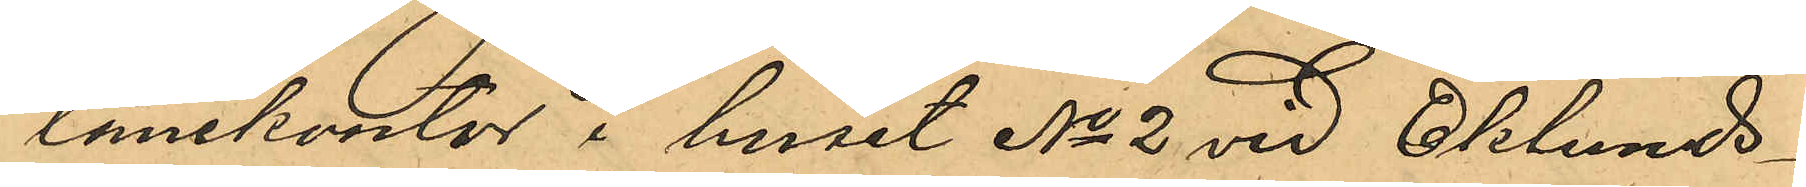lånekontor i huset No 2 vid Eklunds¬
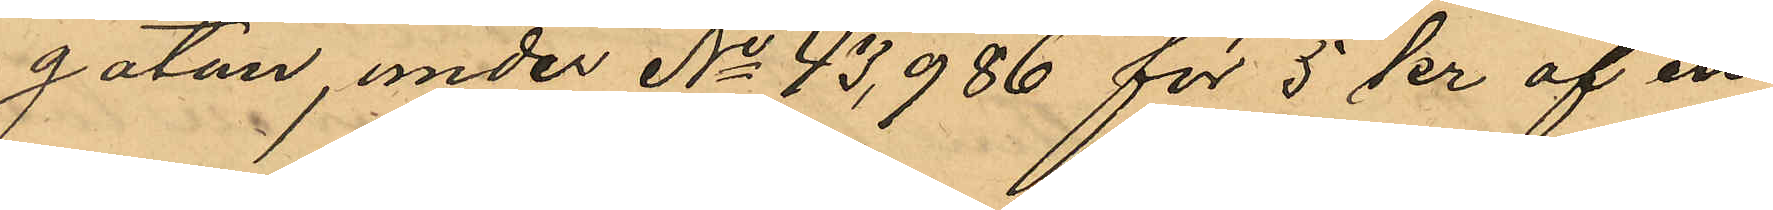gatan, under No 43,986 för 5 kr af en
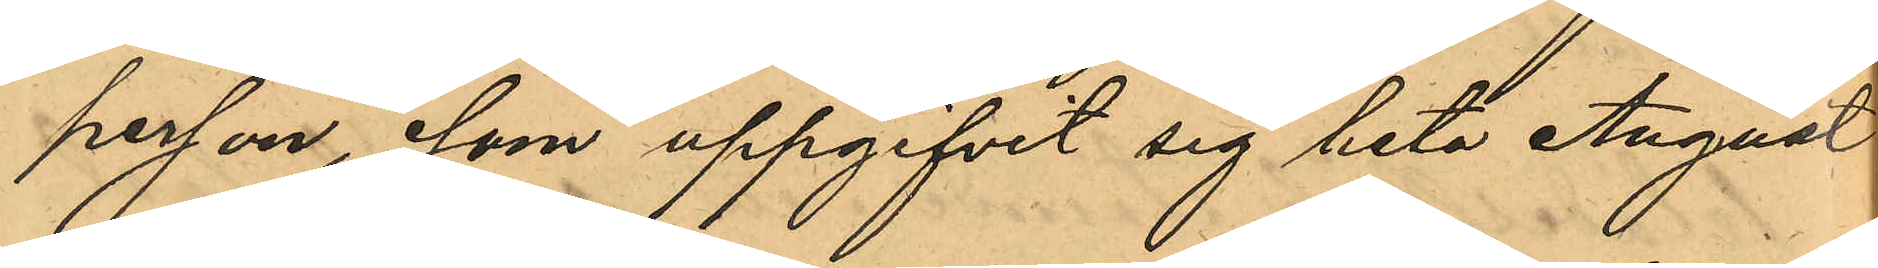person, som uppgifvit sig heta August
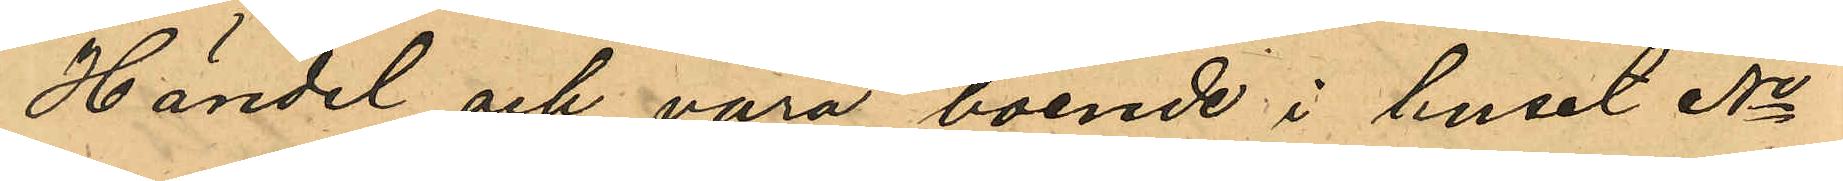Händel och vara boende i huset No
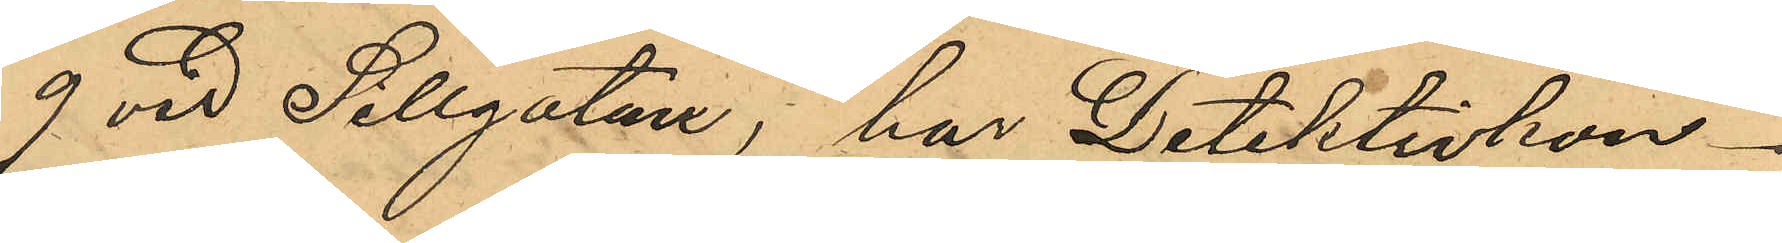9 vid Sillgatan, har Detektivkon¬
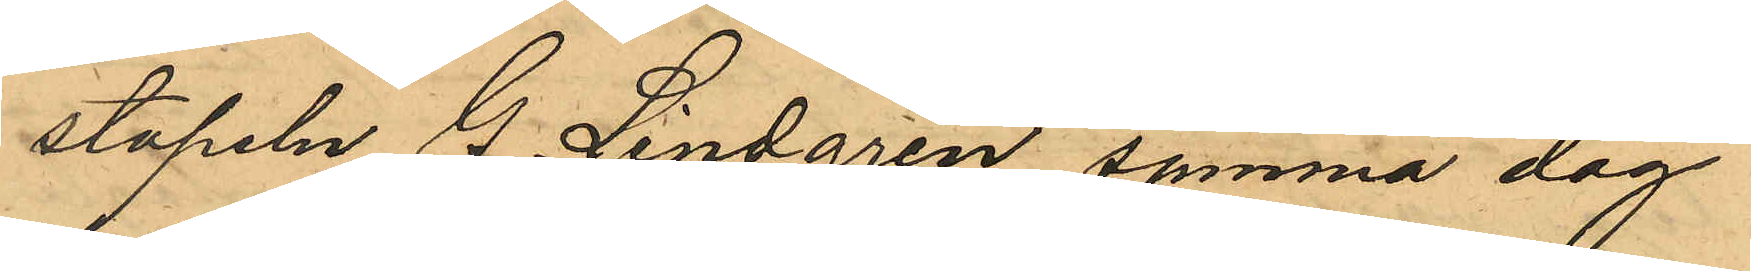stapeln G. Lindgren samma dag
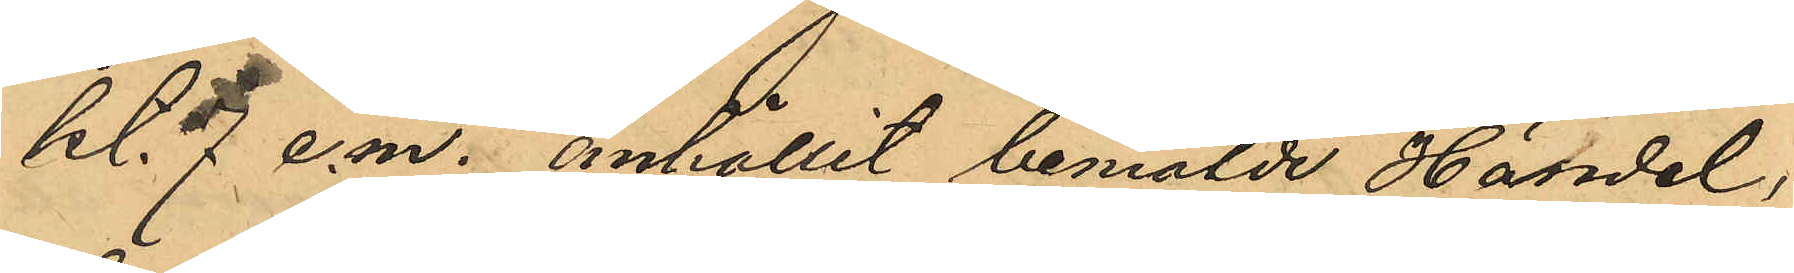kl. 7 e.m. anhållit bemälde Händel,
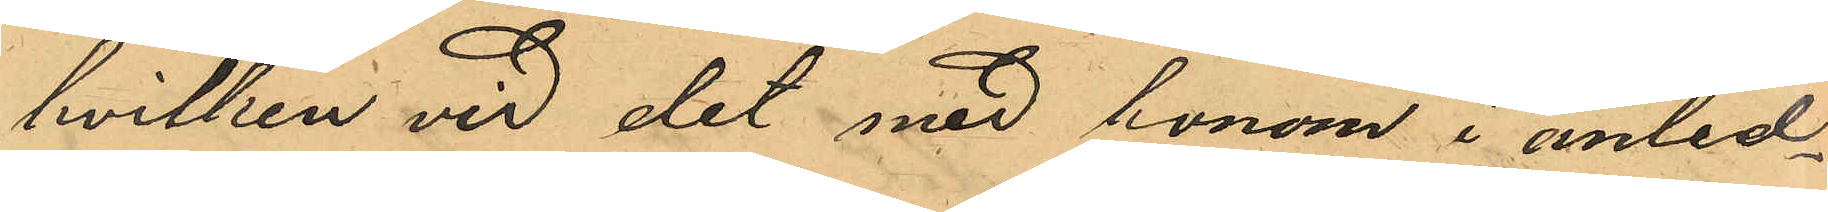hvilken vid det med honom i anled¬
